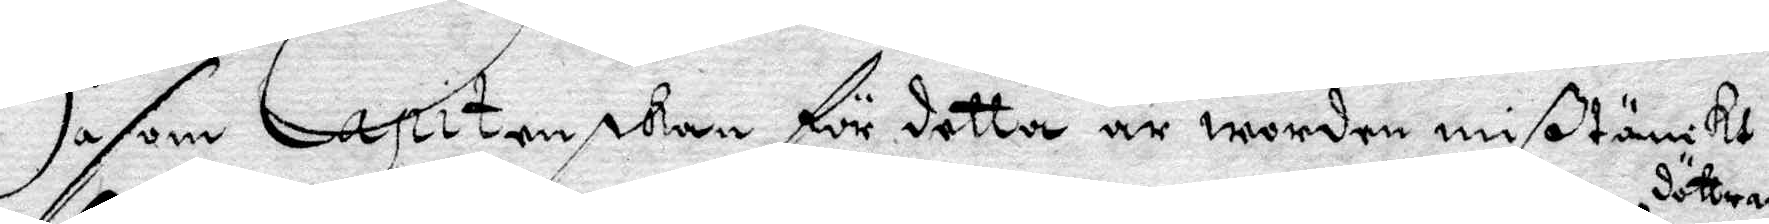Såsom Capitenskan för detta är worden mißtänkt
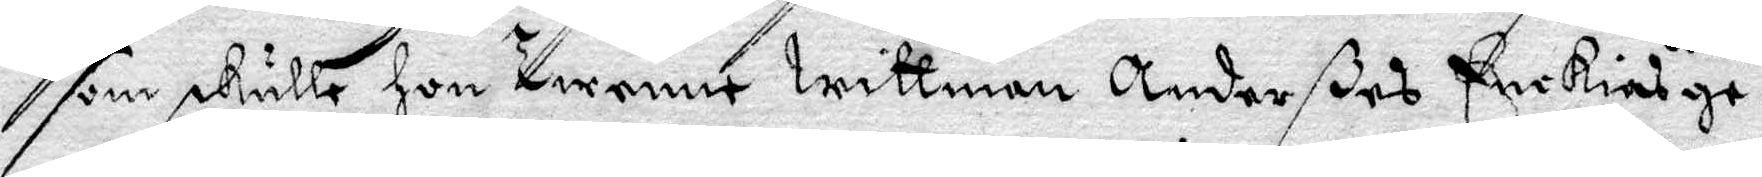som skulle hon twenne wittnen Anderßes Enckias döttrar
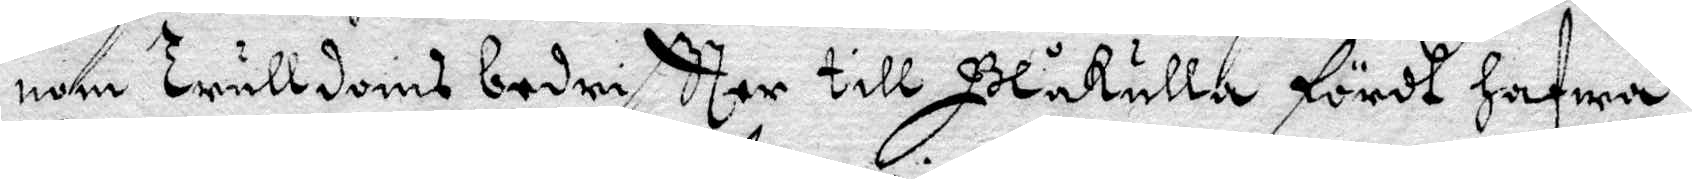men Trulldoms bedriftter till Blåkulla fördt hafwa
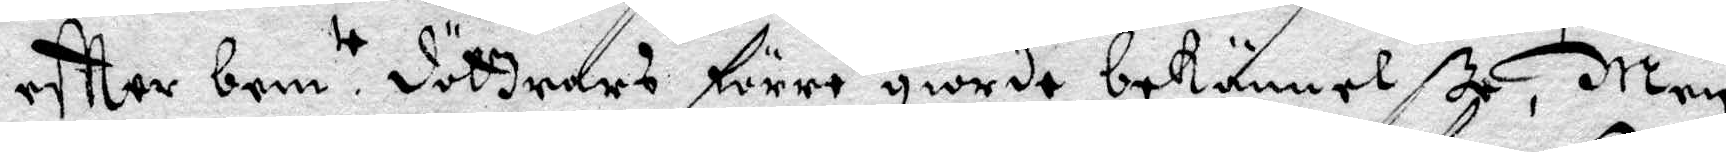eftter bem.te döttrars förre giorde bekännele, Men
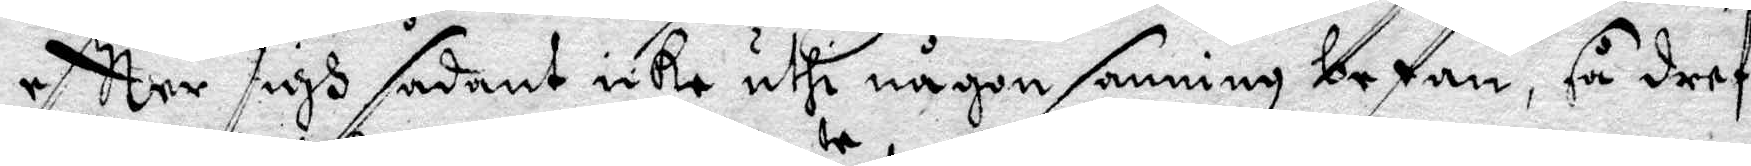eftter sigh sådant icke uthi någon sanning befan, så dref
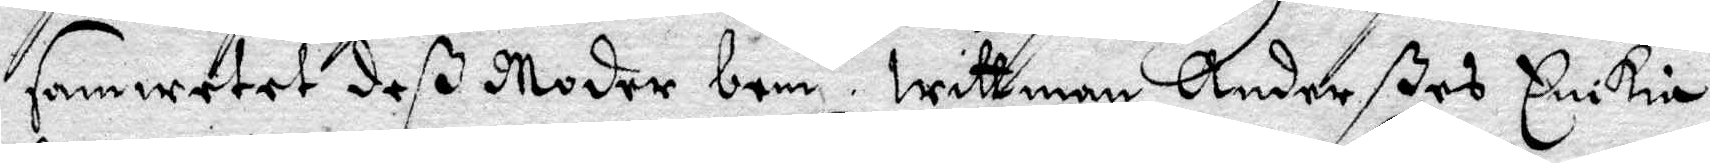samwetet deß Moder bem.te wittnan Anderßes Enkia
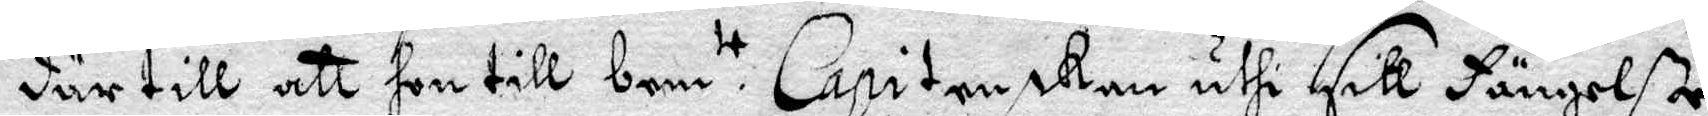därtill at hon till bem.te Capitenskan uthi sitt fängelße
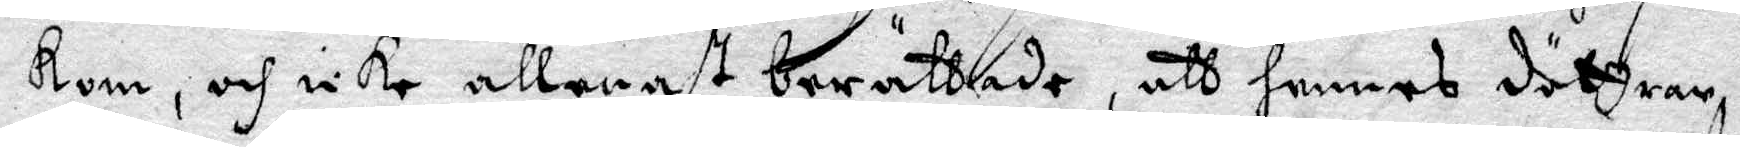kom, och icke allenast berttade, att hennes döttrar.
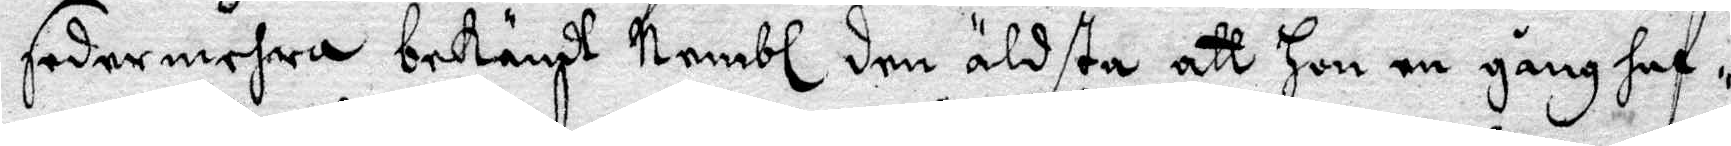sedermera bekändt Nembl den äldste att hon en gång haf¬
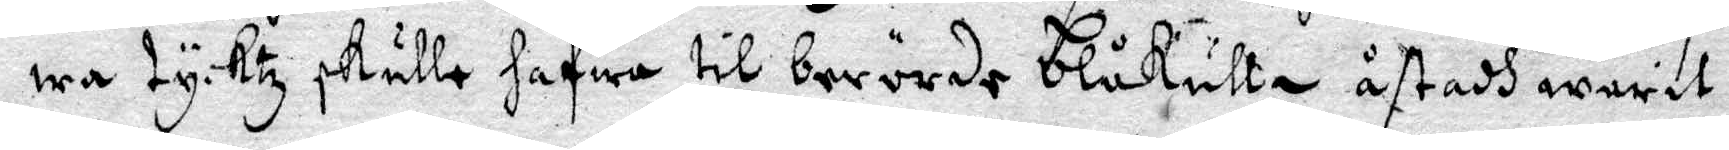wa tyktz skulle hafwa til berörde blåkulla åstadh warit
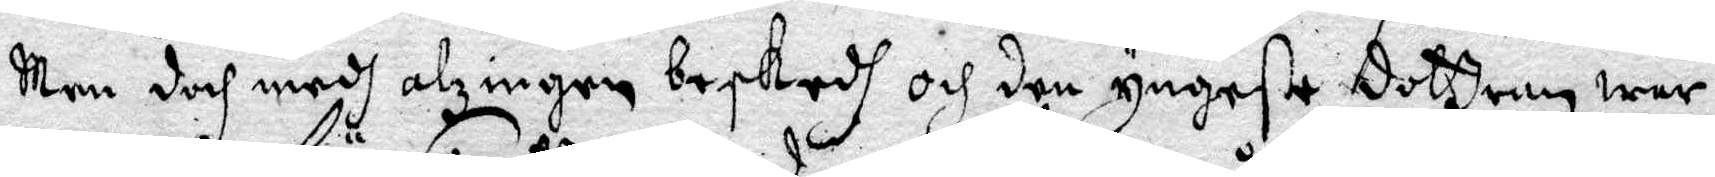Men doch medh alzingen beskedh och den yngste dottren war
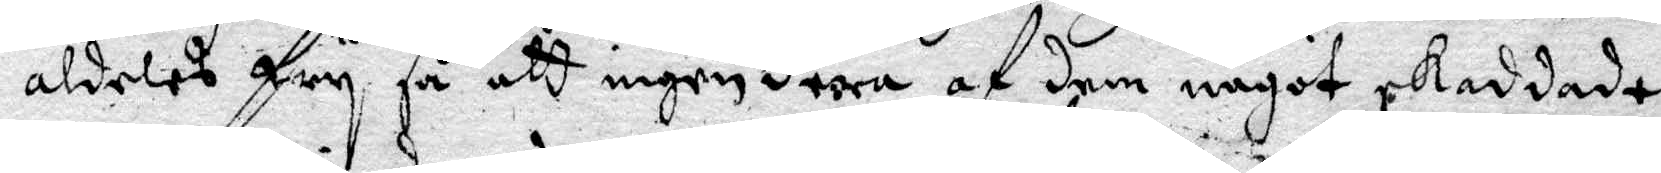aldeles fry så att ingendera af dem något skaddade
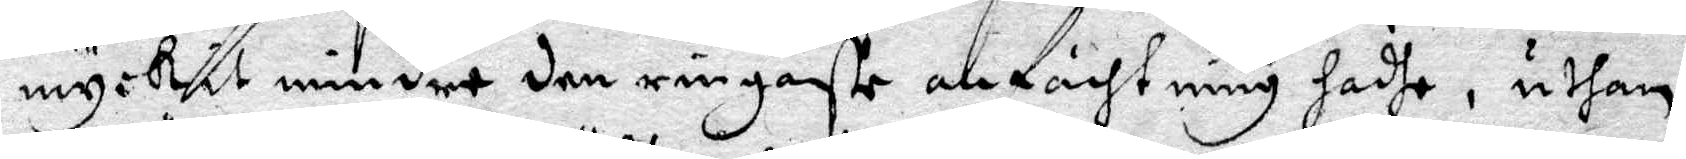myckit mindre den ingaste anfächtning hadhe, uthan
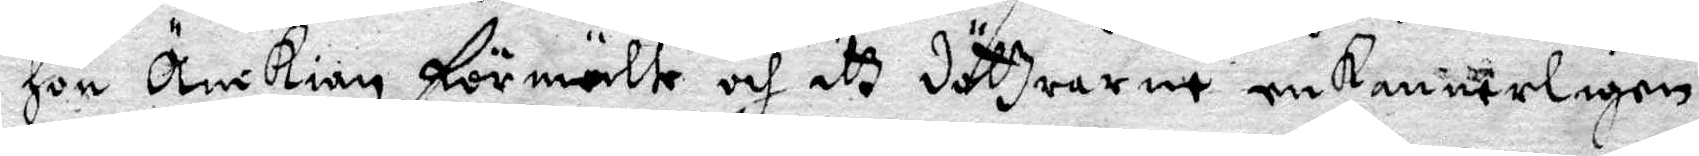hon nkian förmälte och att döttrarne enkanneligen
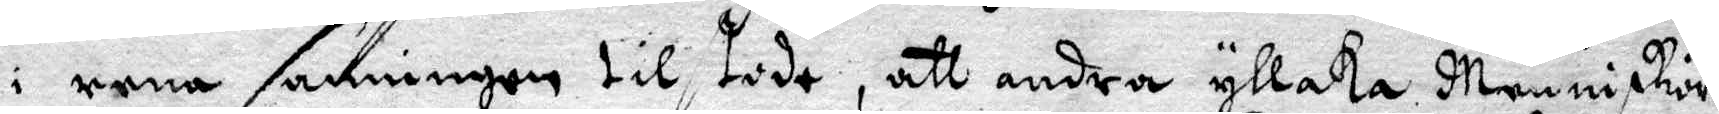i rena sanningen tilstodo, att andra yllaka Menniskior
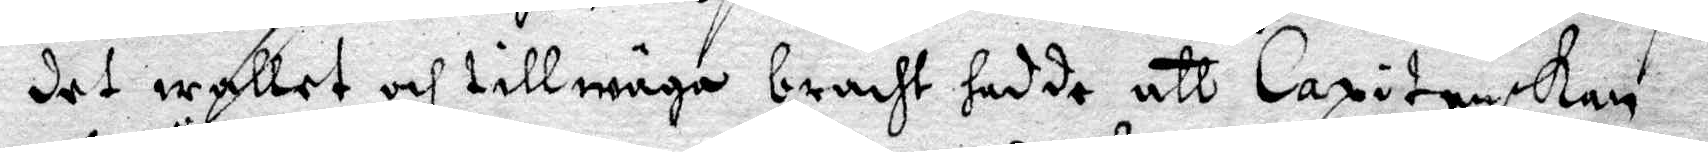det wallet och tillwäga bracht hadde att Capitenskan
